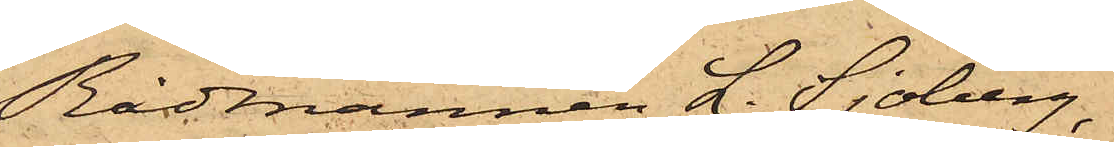Rådmannen L. Sjöberg,
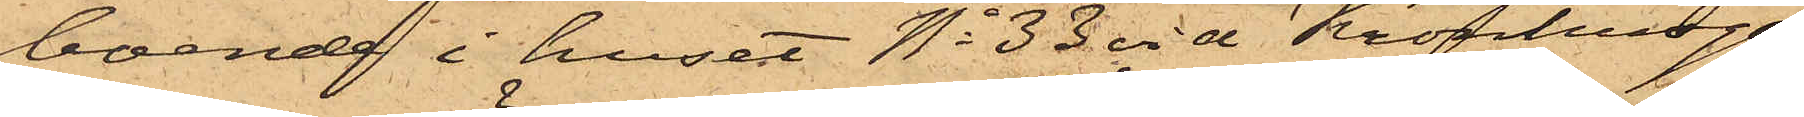boende i huset No 33 vid Kronhusga¬
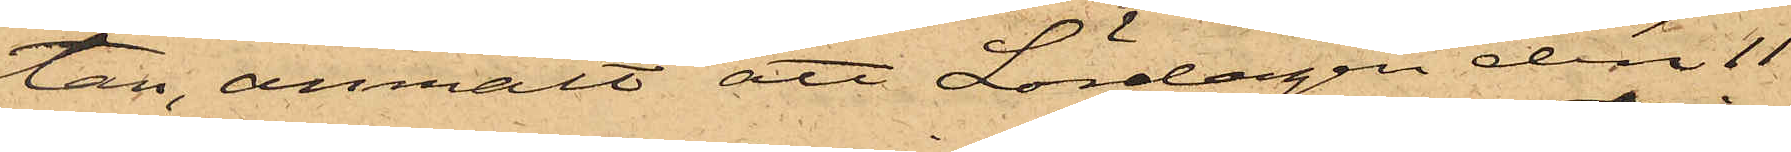tan, anmält att Lördagen den 11
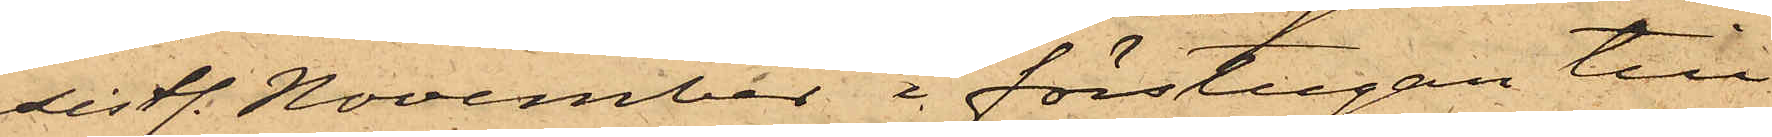sistl. November i förstugan till
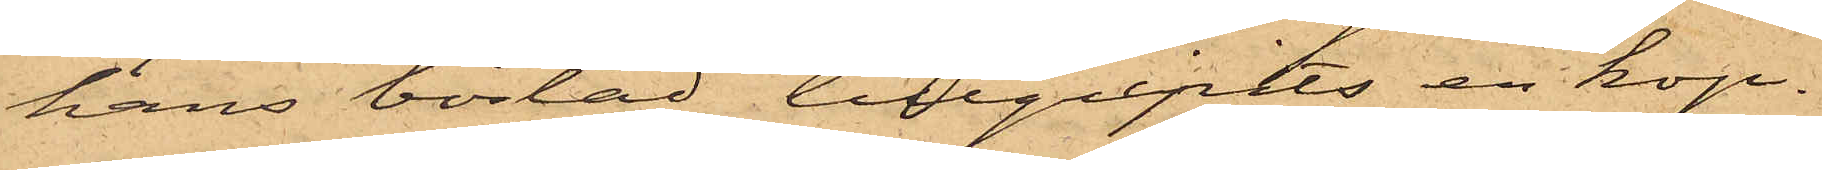hans bostad tillgripits en kop¬
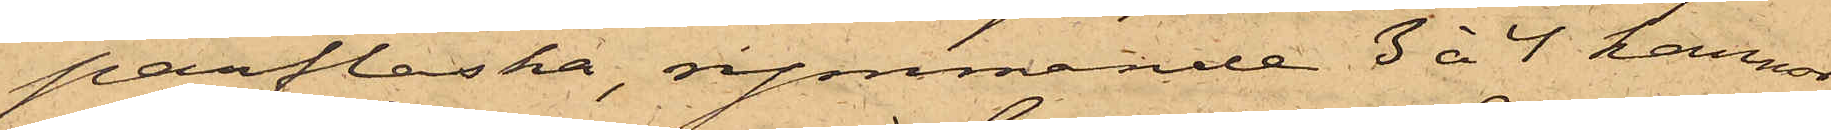parflaska, rymmande 3 à 4 kannor
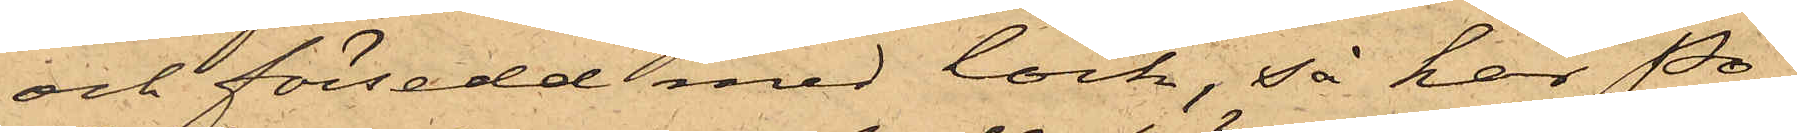och försedd med lock, så har Po¬
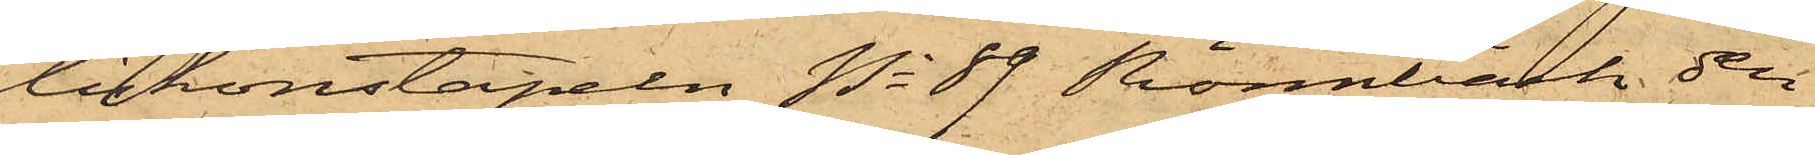liskonstapeln No 89 Rönnbäck den
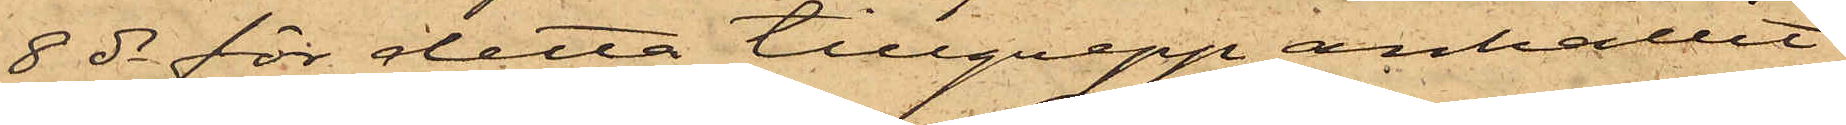8 ds för detta tillgrepp anhållit
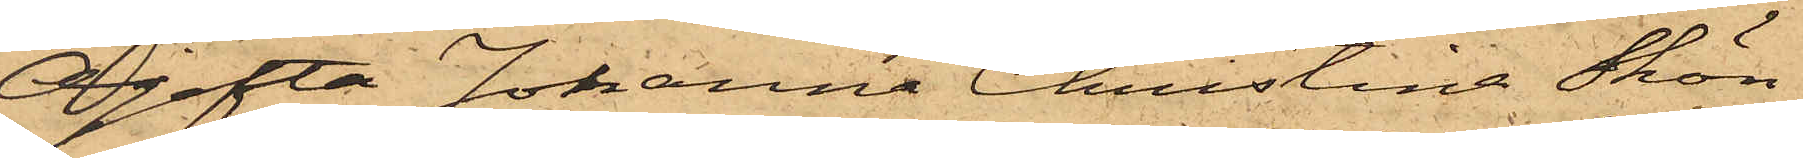Ogifta Johanna Christina Skön¬
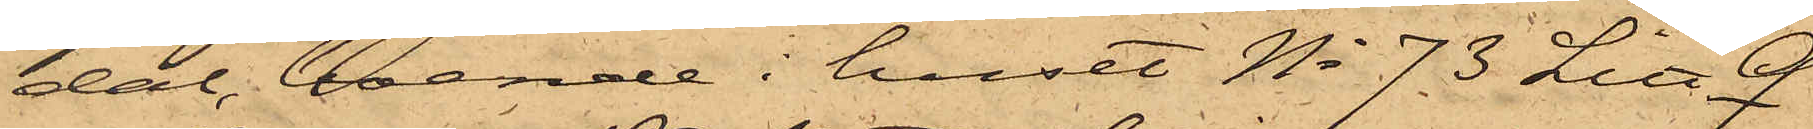dal, boende i huset No 73 Litt Q
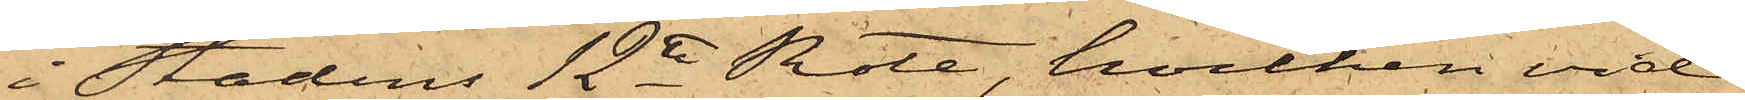i Stadens 12te Rote, hvilken vid
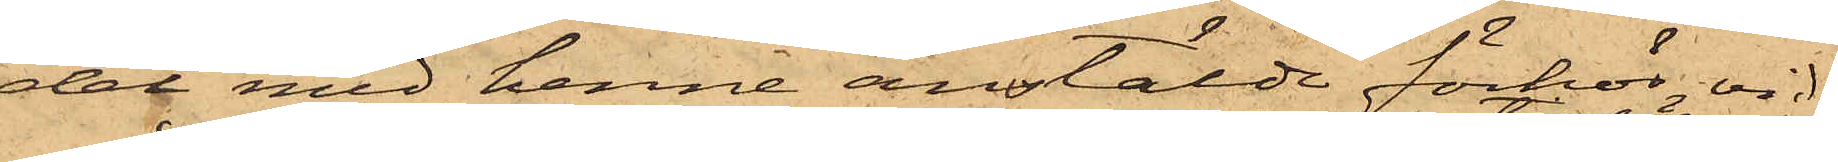det med henne anstälde förhör vid¬
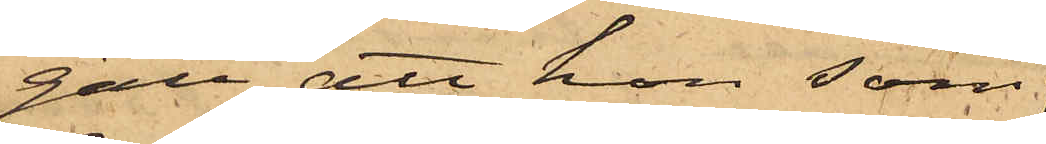gått, att hon som
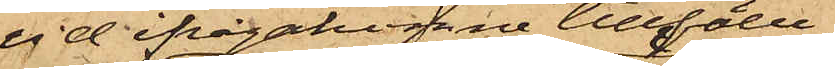vid ifrågakomne tillfälle
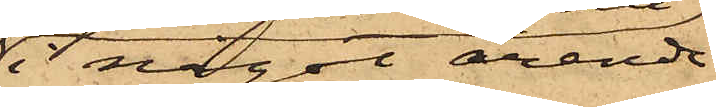i något ärende
